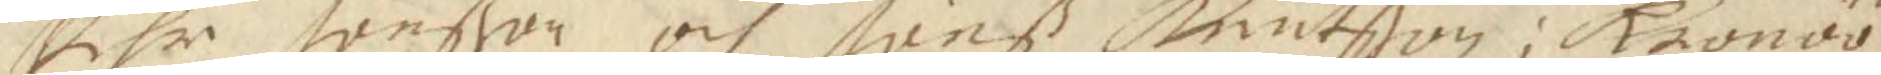Pehr Jönßon och Jönß knutßon i Kronöö,
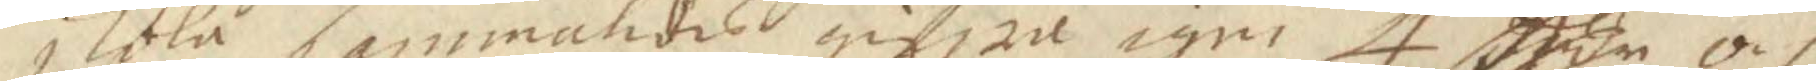skola sammaledes gifwa igen 4. Rdn och
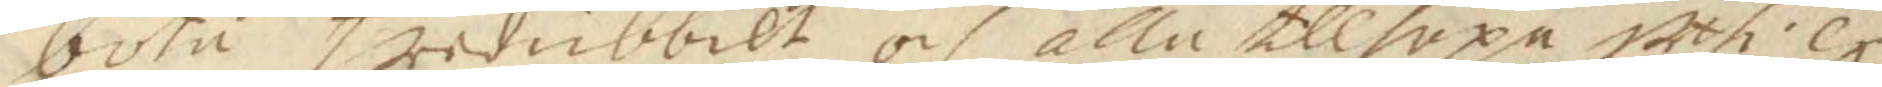böta tredubbelt, och alla tillhopa uthi ex¬
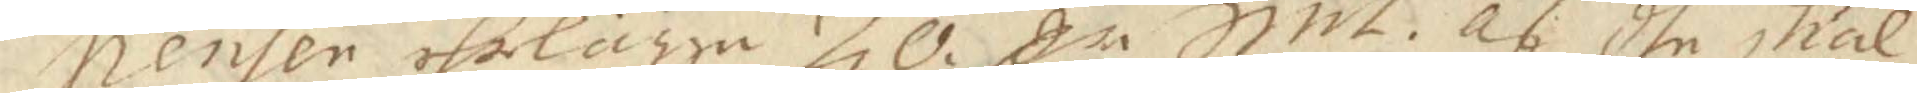penser ehrlägga 20 Cr Smt af dhe skäl
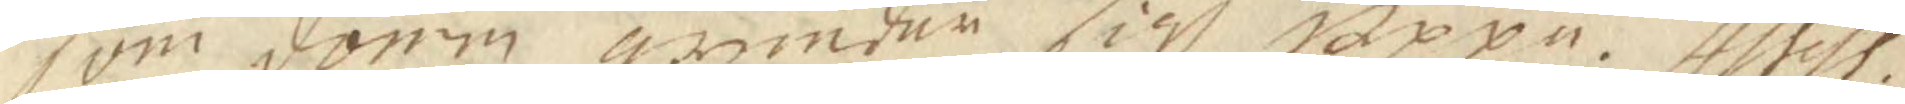som domen grunar sigh uppå Assess.
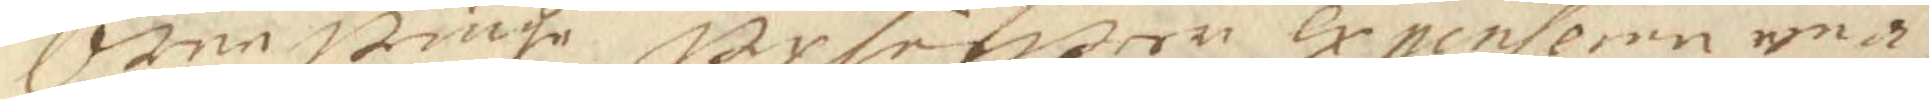Örnewinge ugsifwer expenserne enär
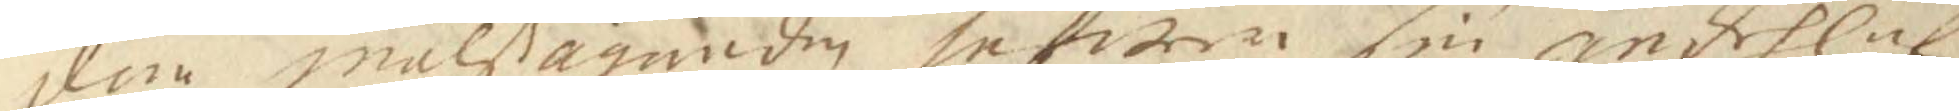dem målßäganden hafwer sin andehl af
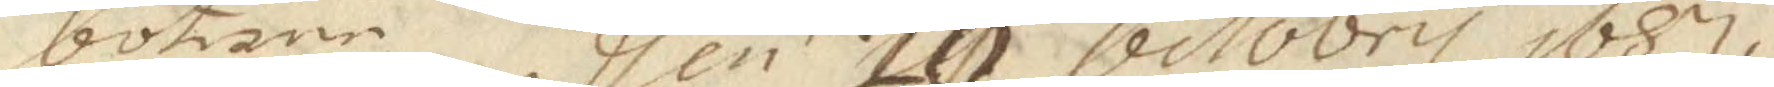böterne dhen 19. 20 Octorbti 1687.
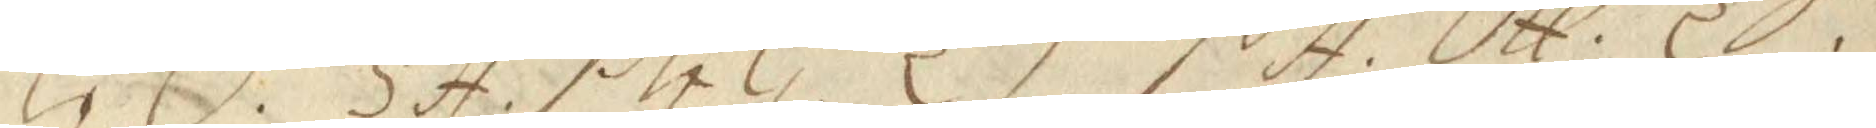GÖ. SA. PGG. ET. PA. OH. ES.
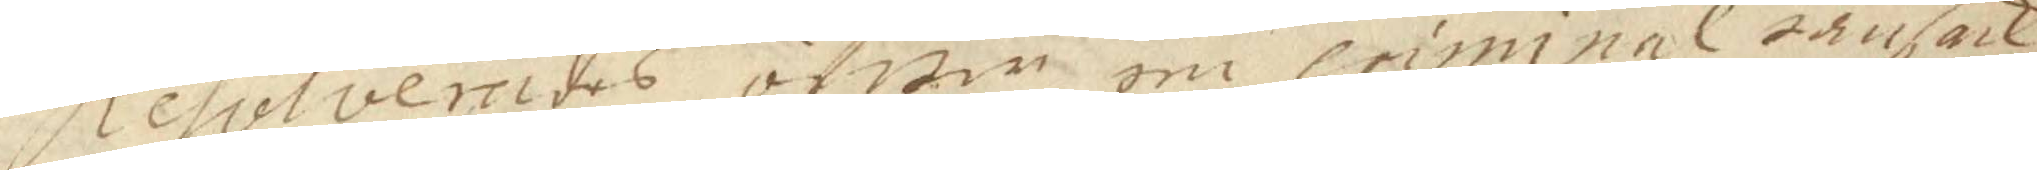Resolverades öfwer en criminal ransack¬
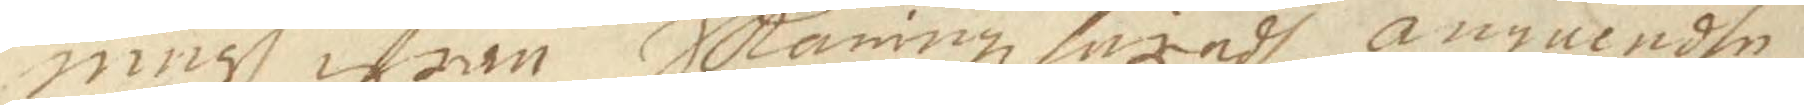ningh ifrån Skaningz häradh angående
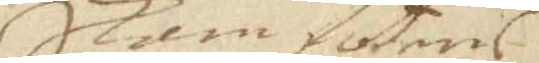Skamfotens
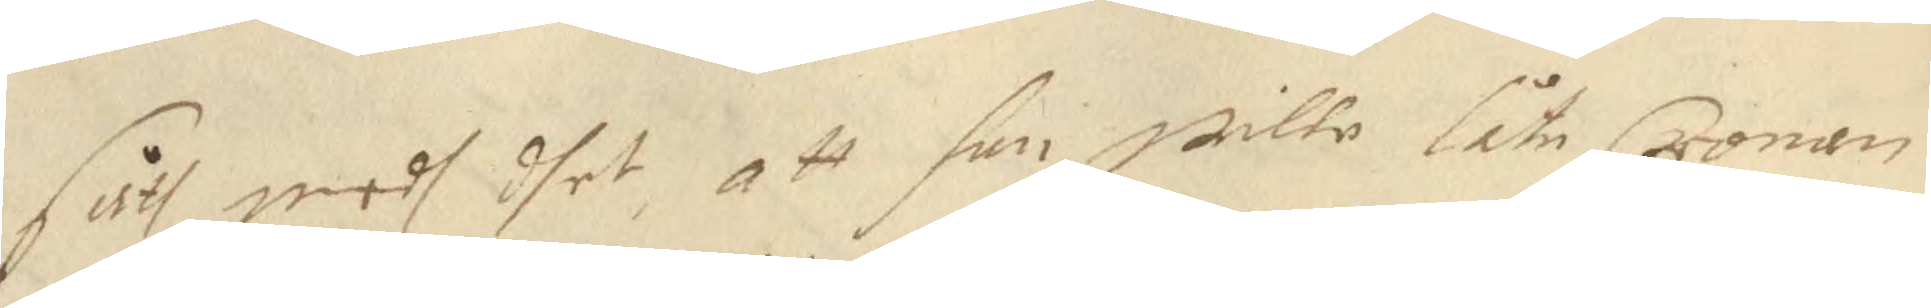fåth medh dhet, att han wille låte Cronan
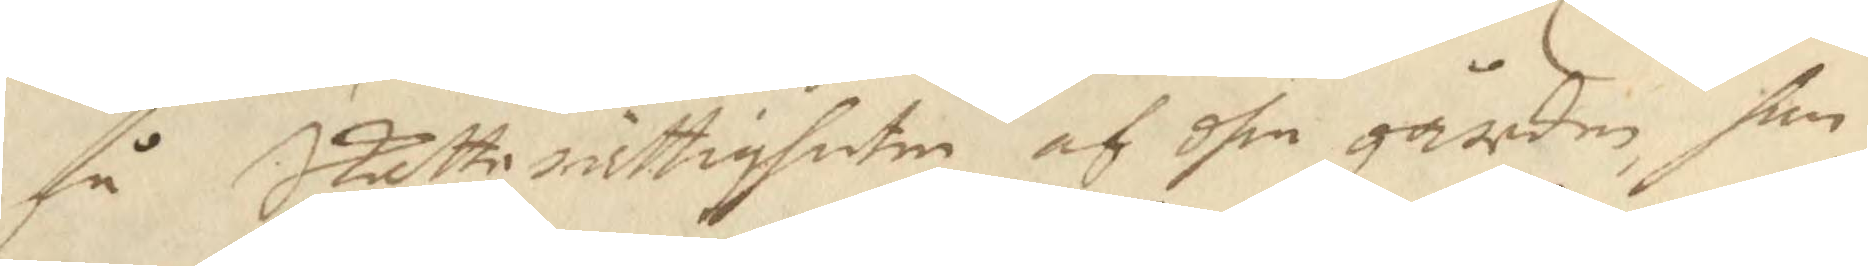få Skatterättigheten af dhen gården, han
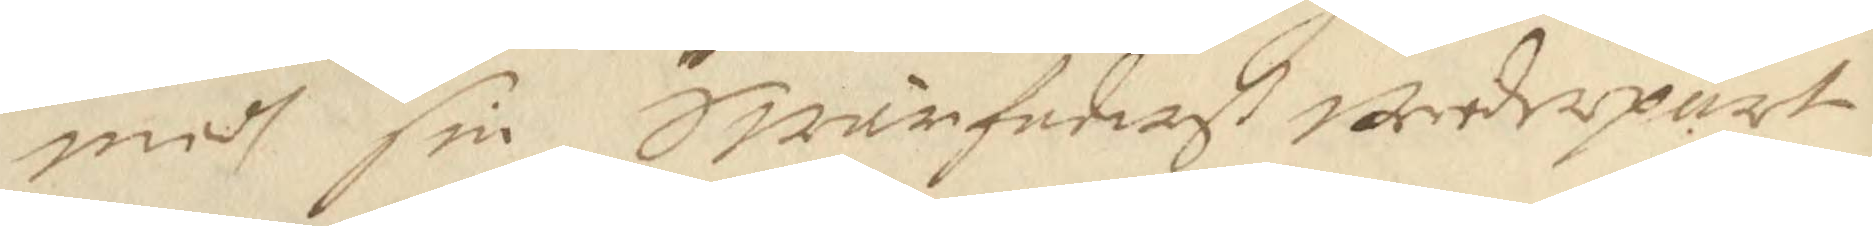medh sin Swärfaderß wederpart
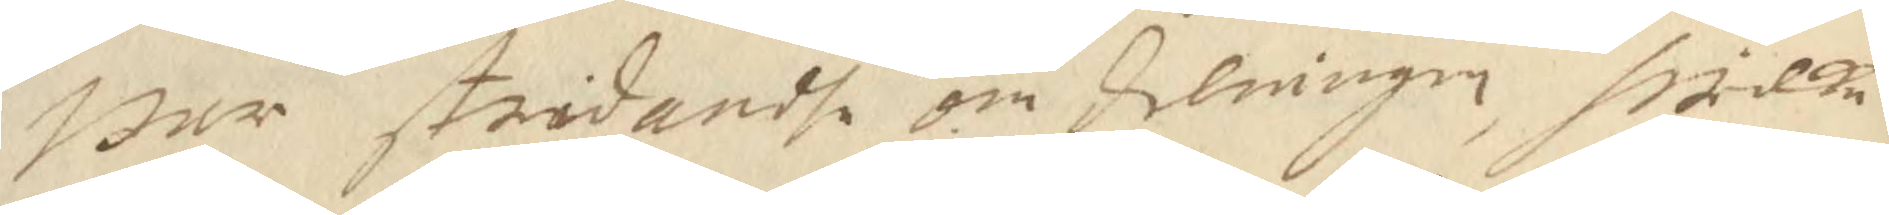war stridandhe om delningen, hwilke
